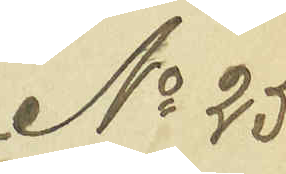No 25
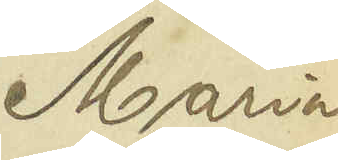Maria
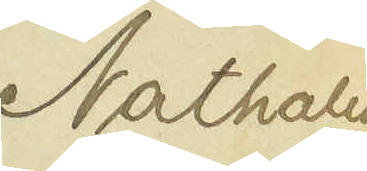Nathalia
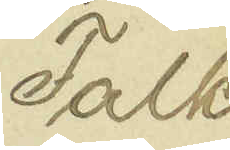Falk
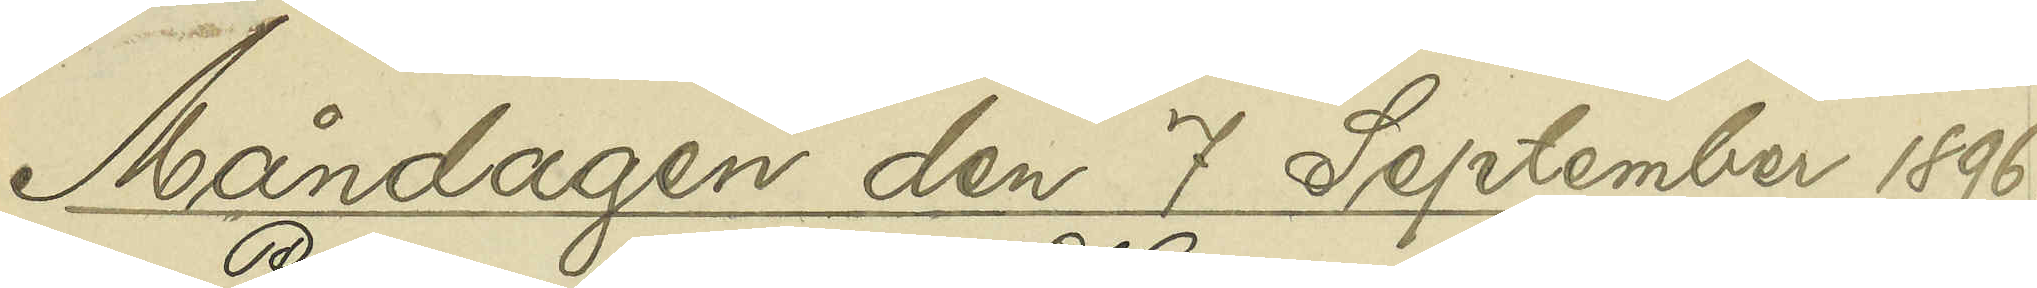Måndagen den 7 September 1896.
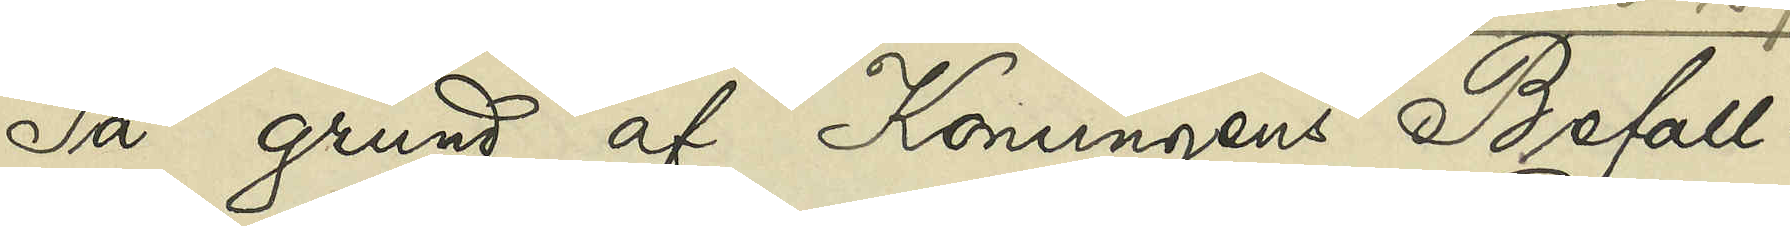På grund af Konungens Befall¬
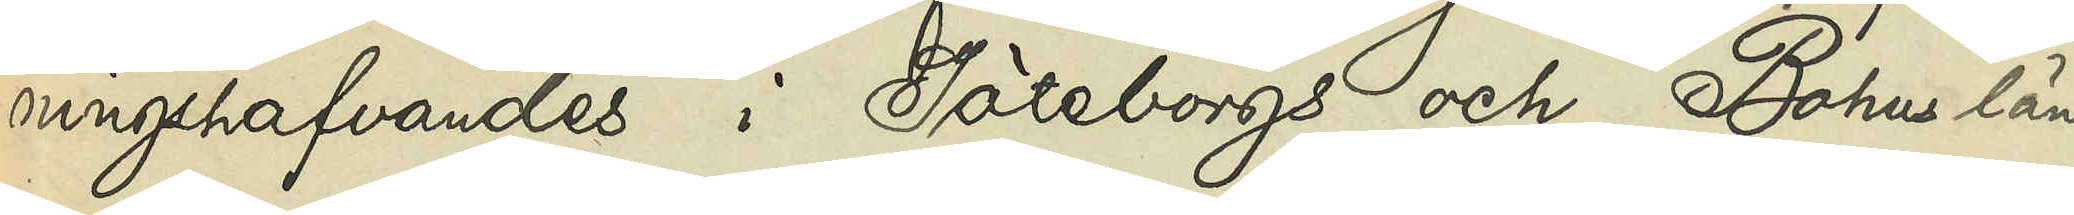ningshafvandes i Göteborgs och Bohus län
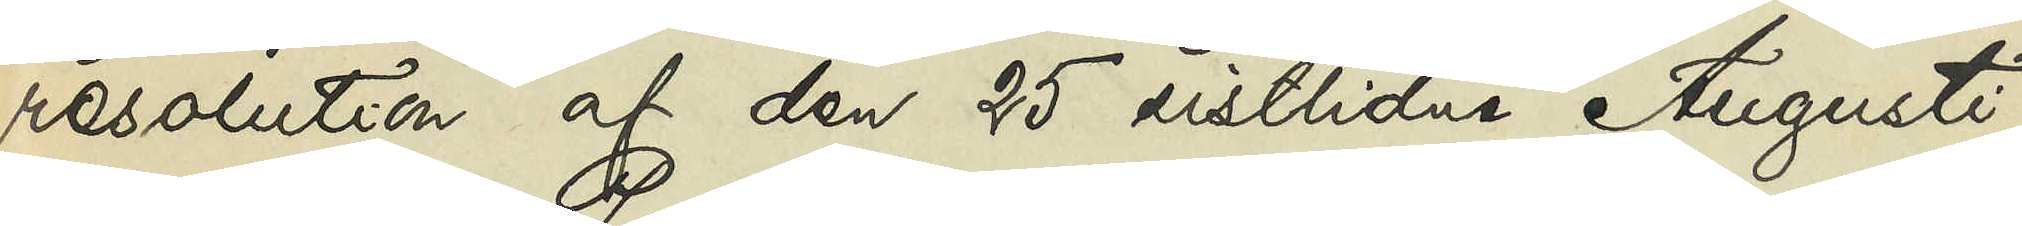resolution af den 25 sistlidne Augusti,
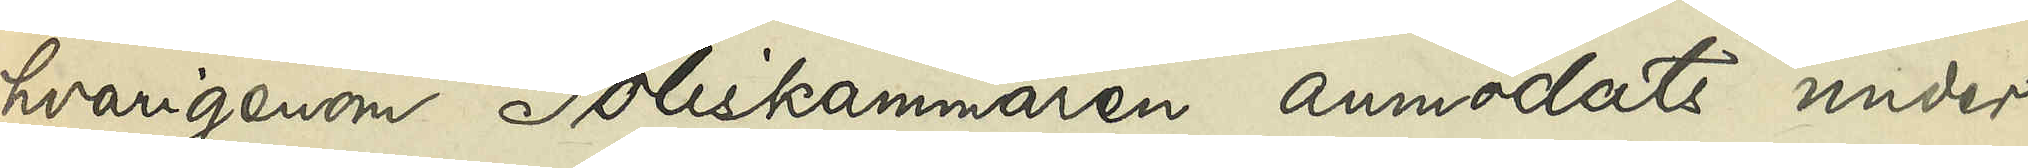hvarigenom Poliskammaren anmodats under¬
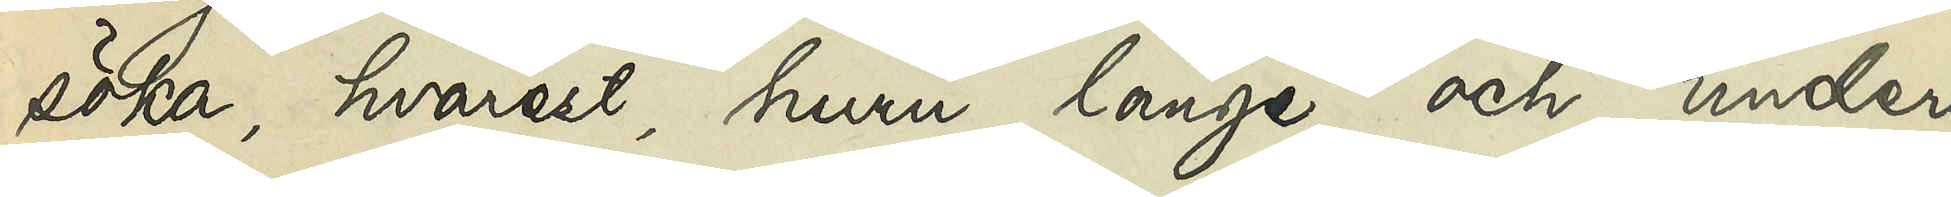söka, hvarest, huru länge och under
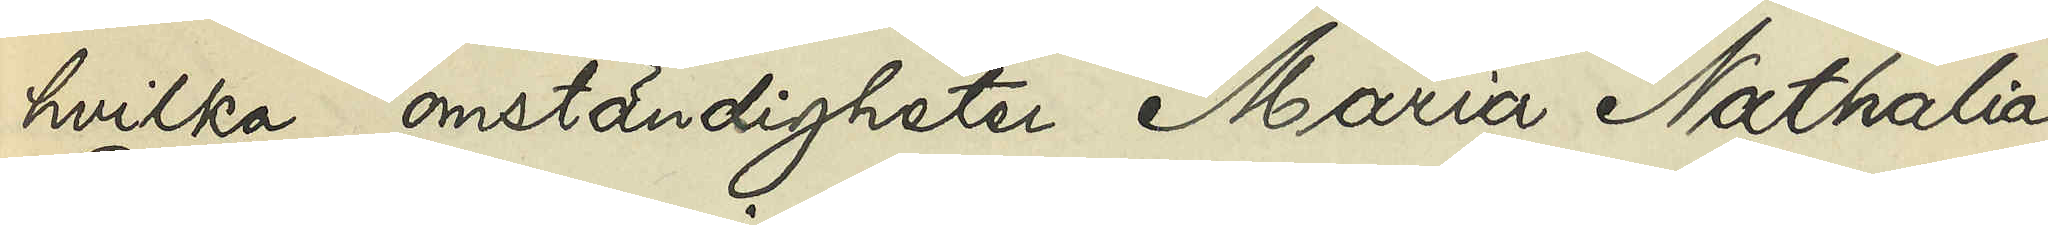hvilka omständigheter Maria Nathalia
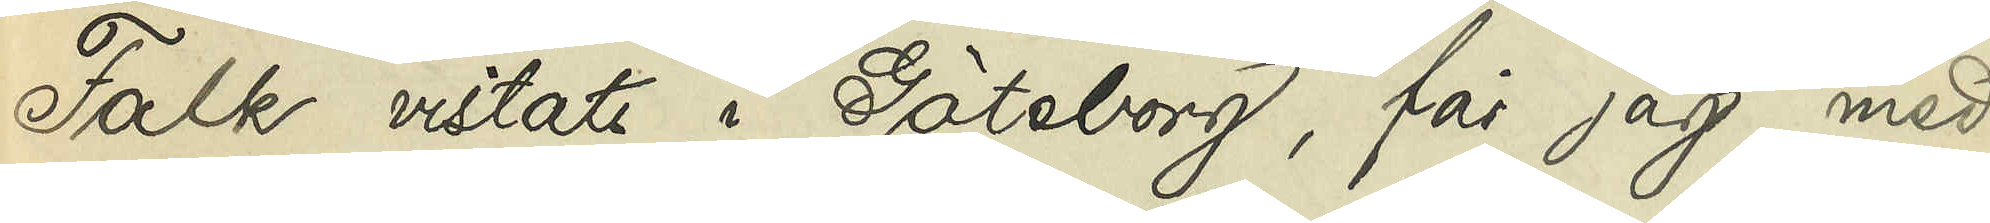Falk vistats i Göteborg, får jag med
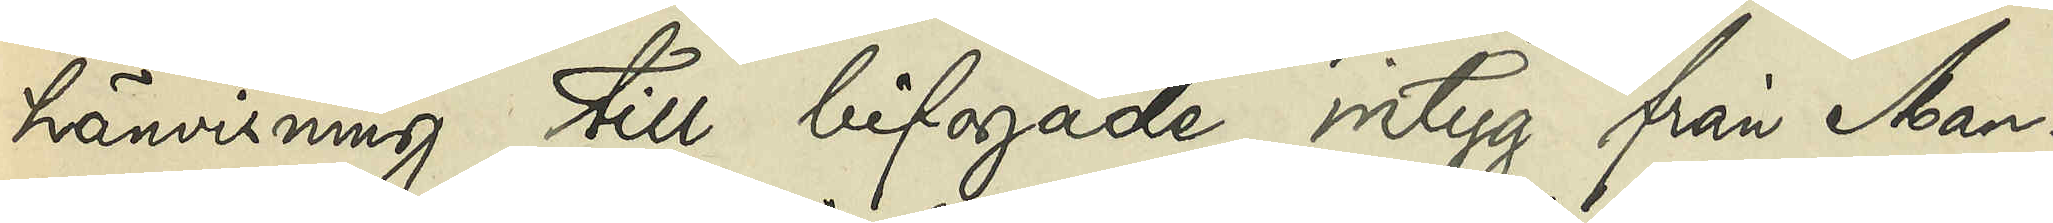hänvisning till bifogade intyg från Man¬
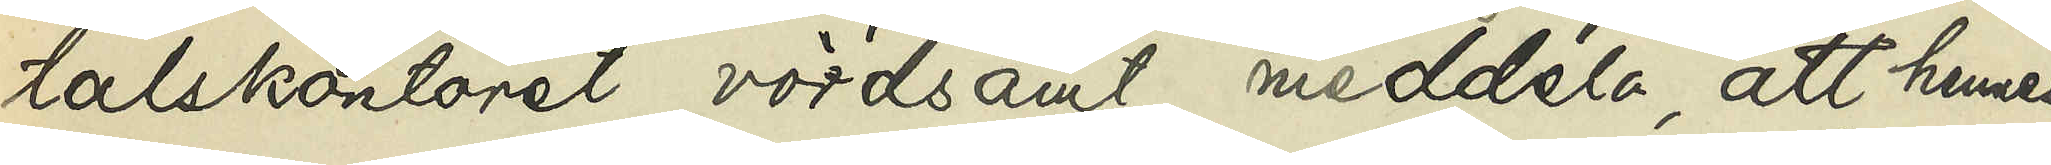talskontoret vördsamt meddela, att hennes
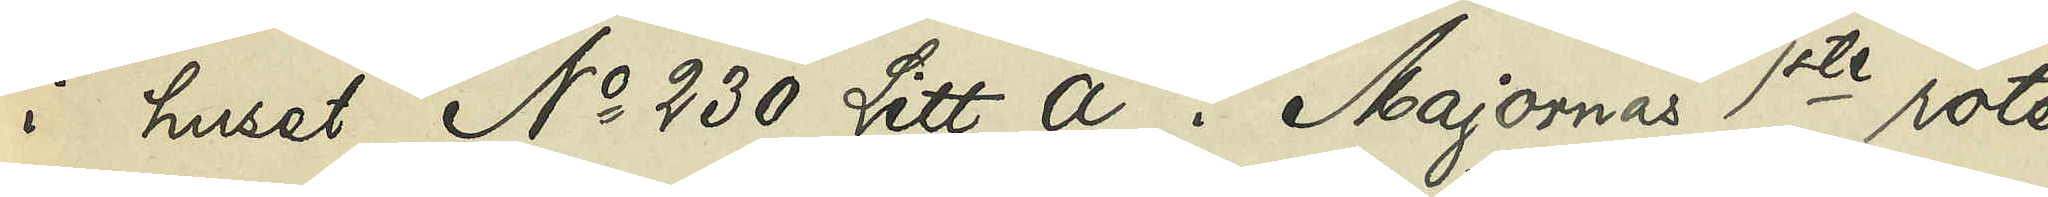i huset No 230 Litt. A i Majornas 1ste rote
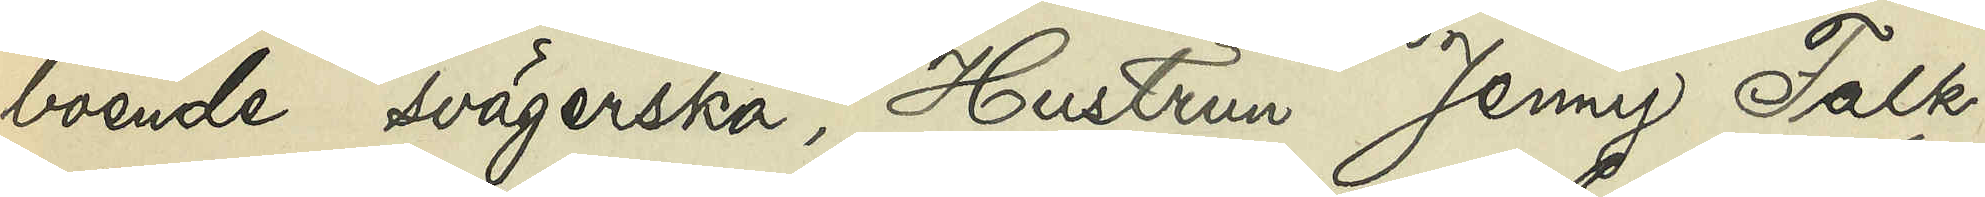boende svägerska, Hustrun Jenny Falk,
